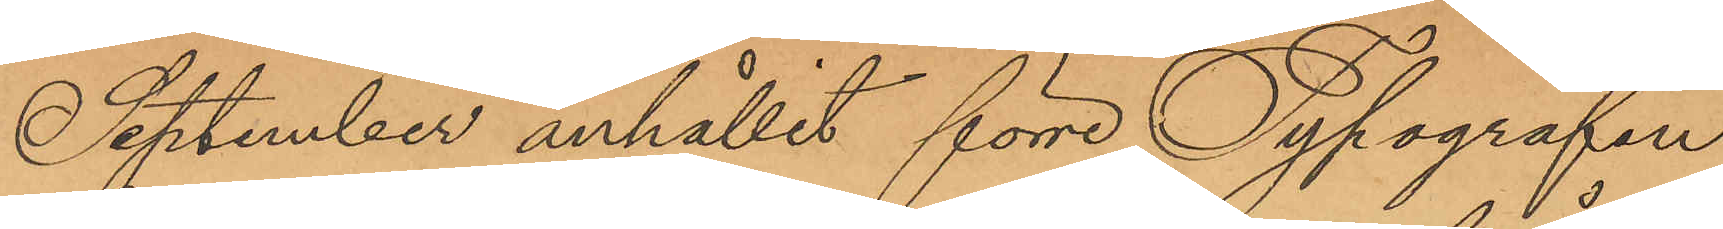September anhållit förre Typografen
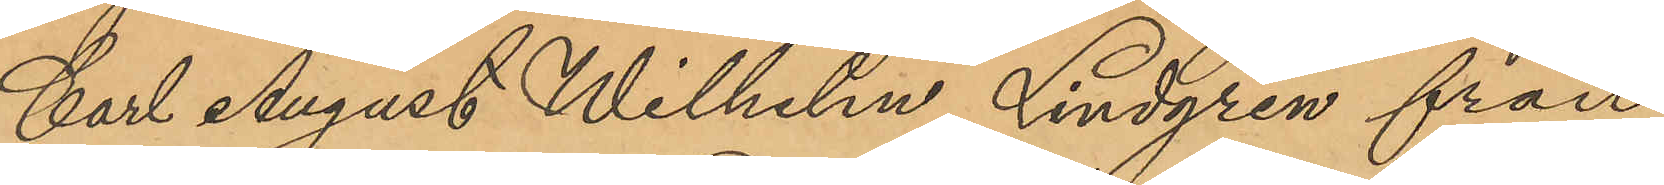Carl August Wilhelm Lindgren från
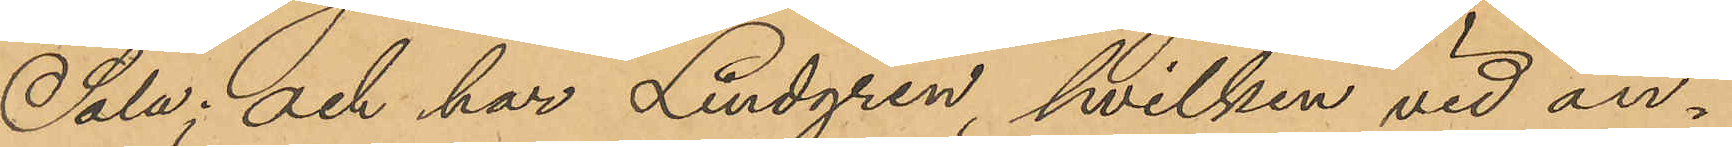Sala; och har Lindgren, hvilken vid an¬
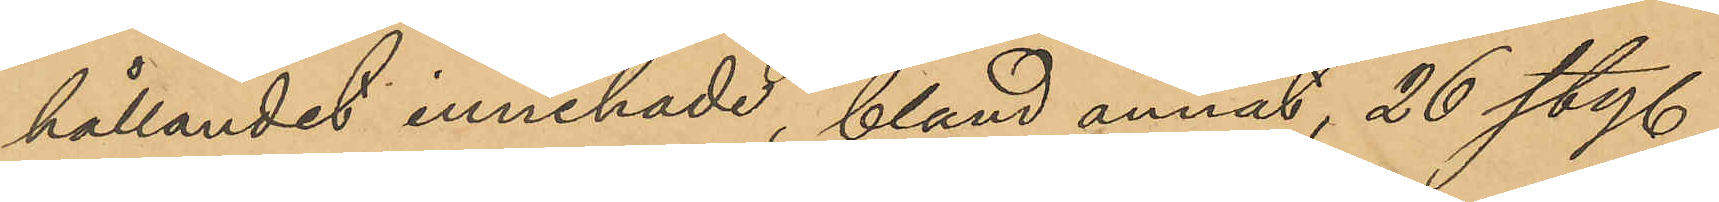hållandet innehade, bland annat, 26 sty.
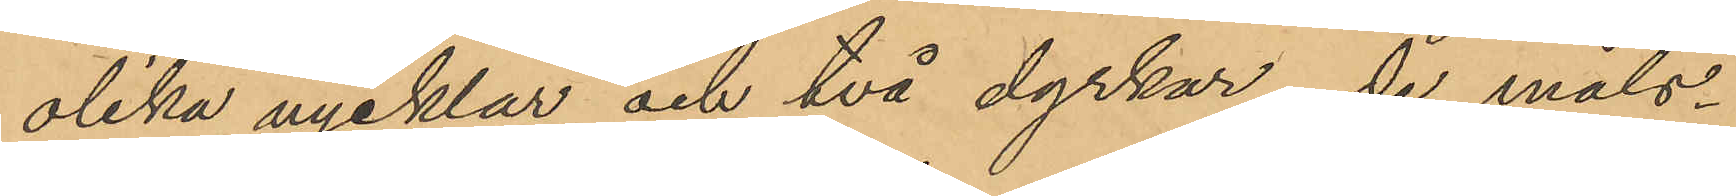olika nycklar och två dyrkar, de måls¬
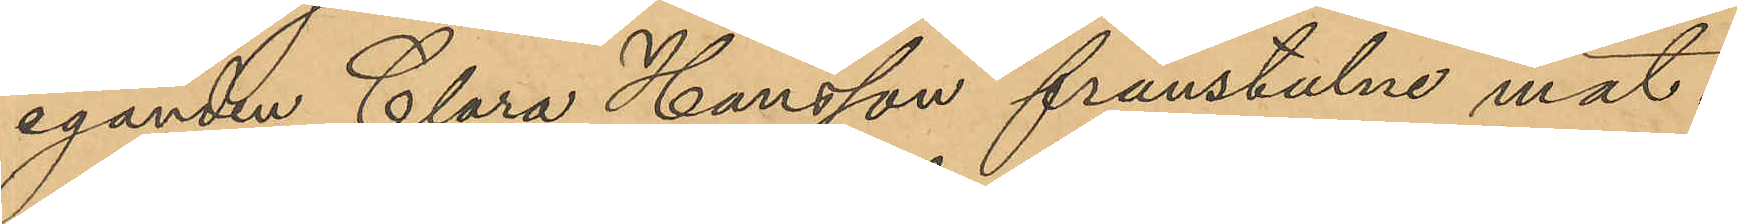eganden Clara Hansson frånstulne mat¬
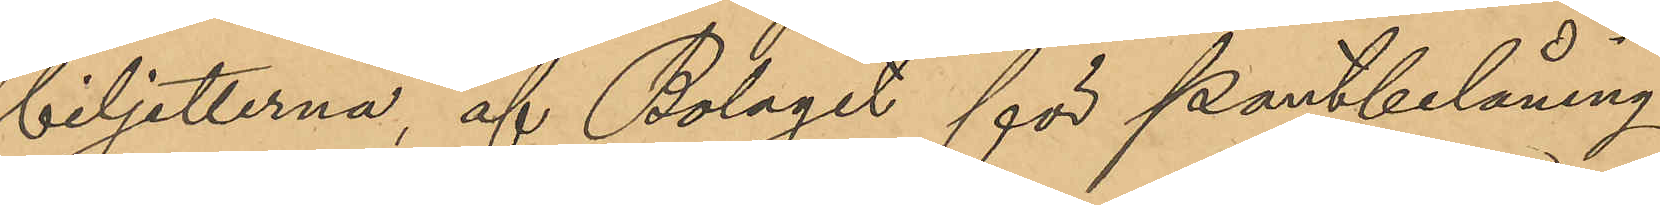biljetterna, af Bolaget för pantbelåning
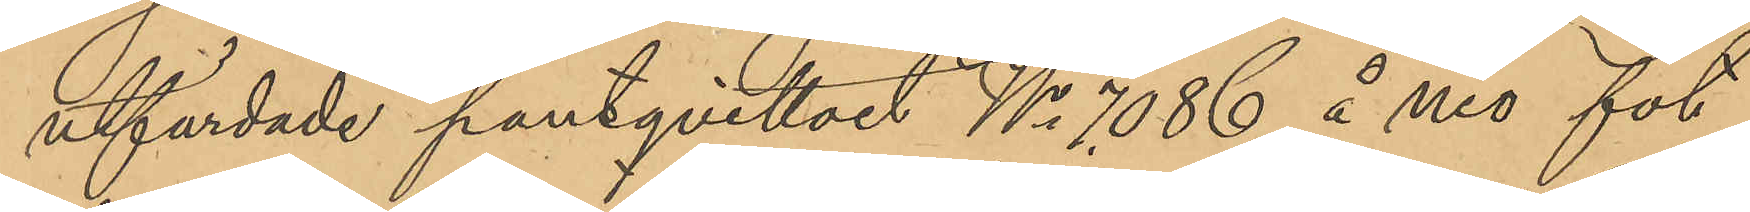utfärdade pantqvittoet No 7086 å nio fot
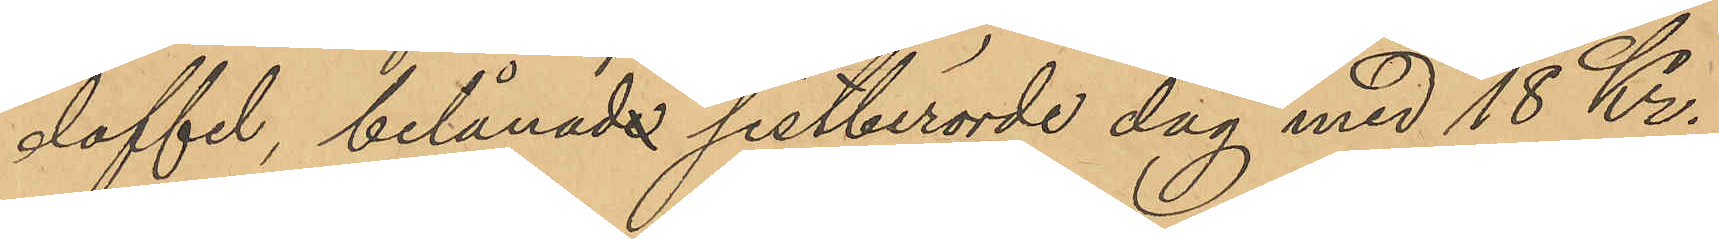doffel, belånade sistberörde dag med 18 Kr.
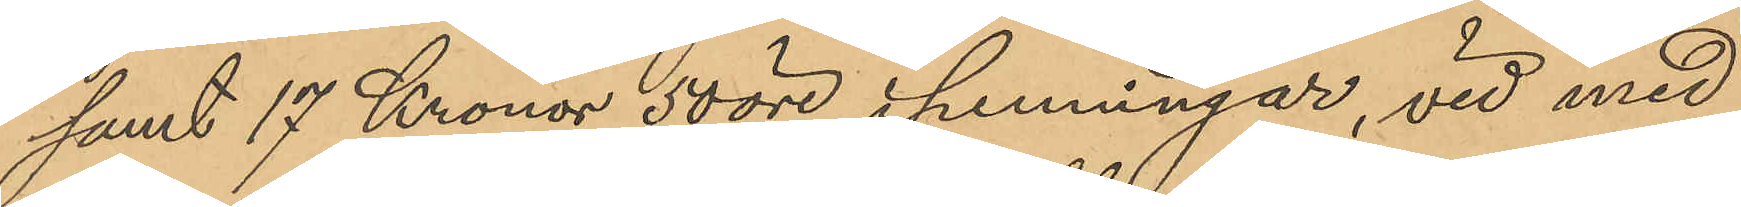samt 17 Kronor 50 öre i penningar, vid med
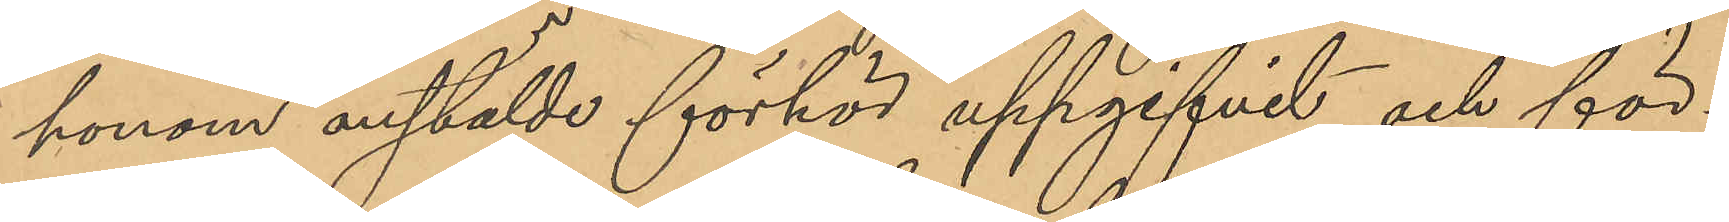honom anstälde förhör uppgifvit och för¬
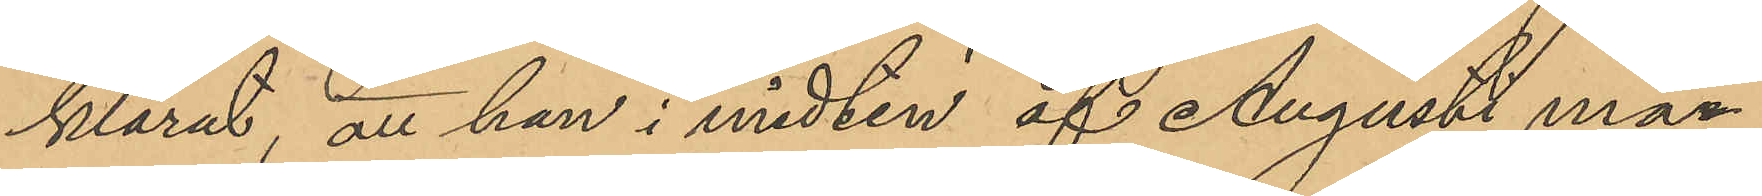klarat, att han i midten af Augusti mån¬
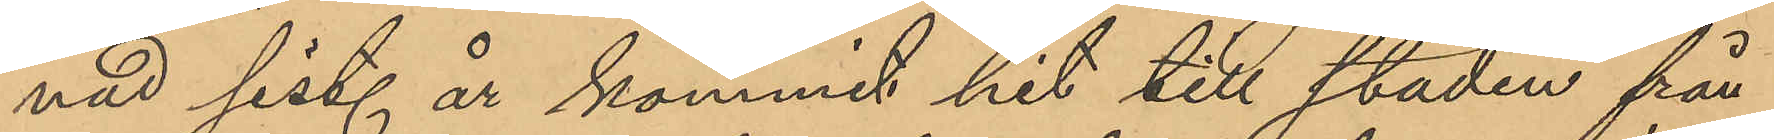nad sist. år kommit hit till staden från
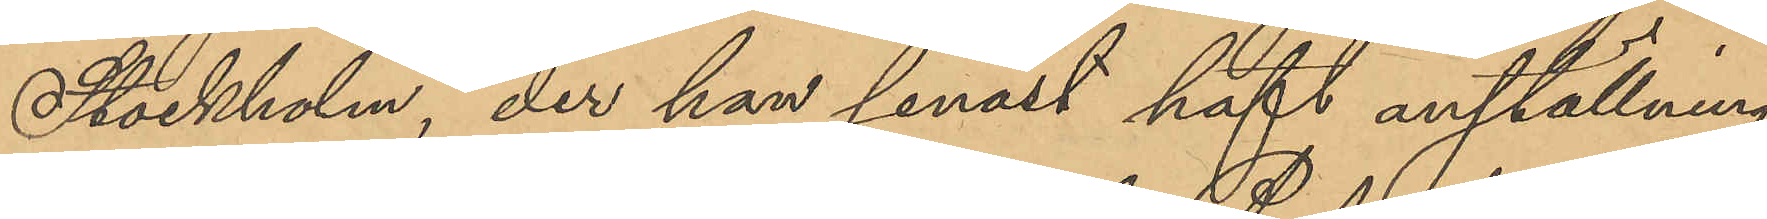Stockholm, der han senast haft anställning
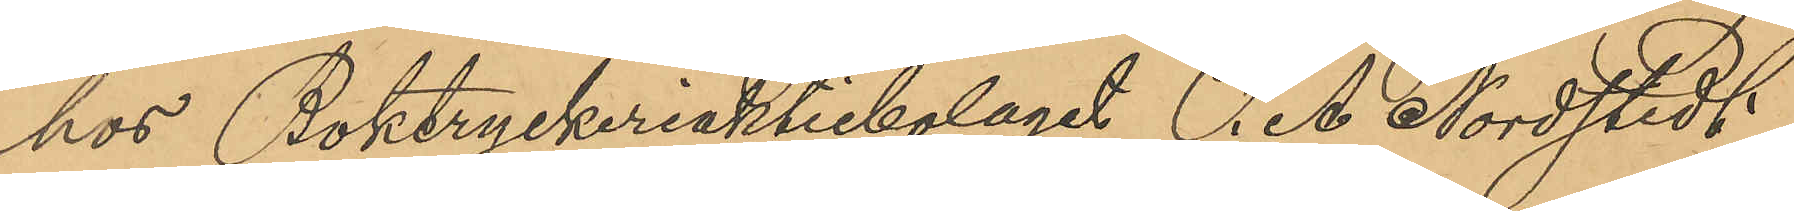hos Boktryckeriaktiebolaget P. A. Nordstedt
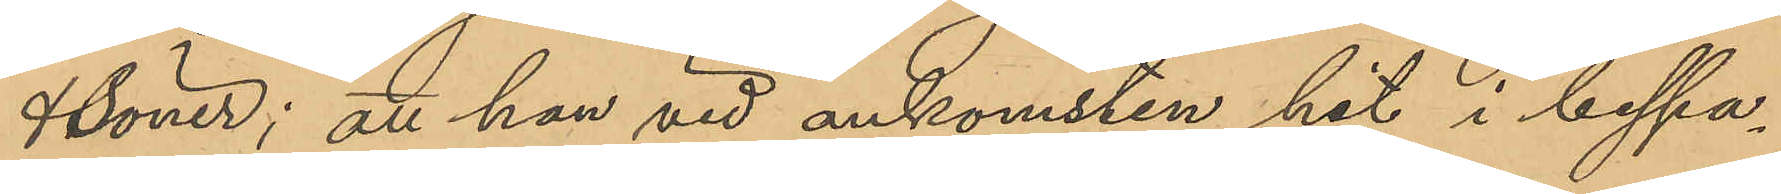& Söner; att han vid ankomsten hit i bespa¬
